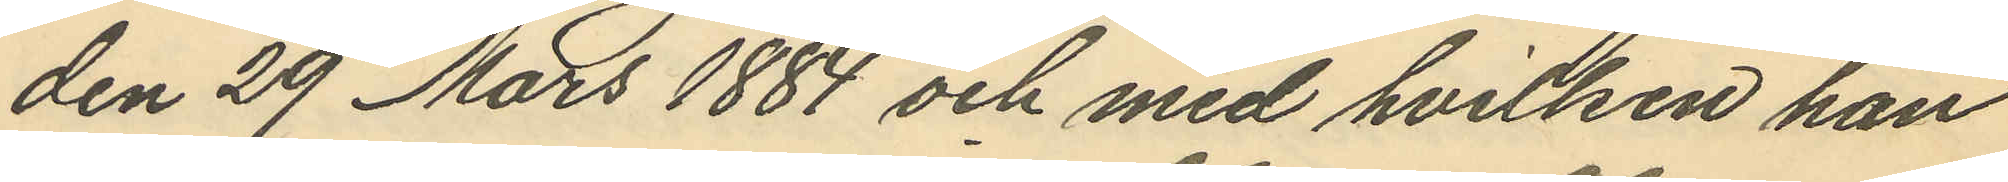den 29 Mars 1884 och med hvilken han
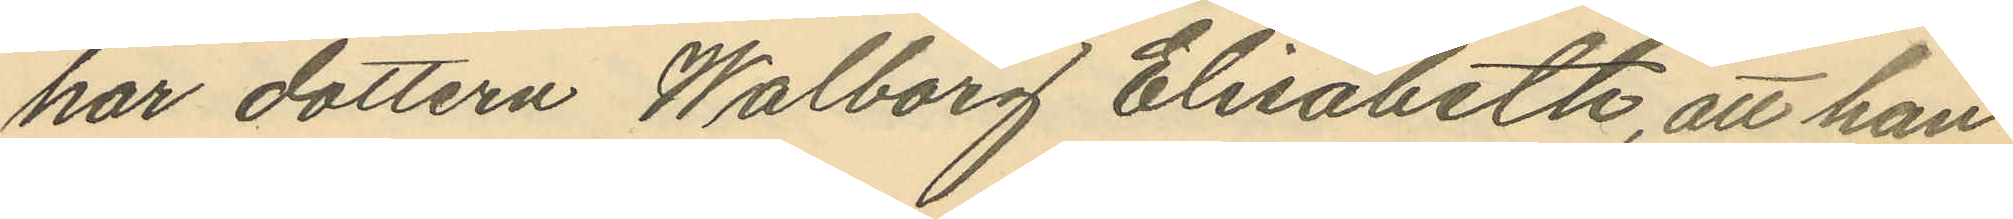har dottern Walborg Elisabeth, att han
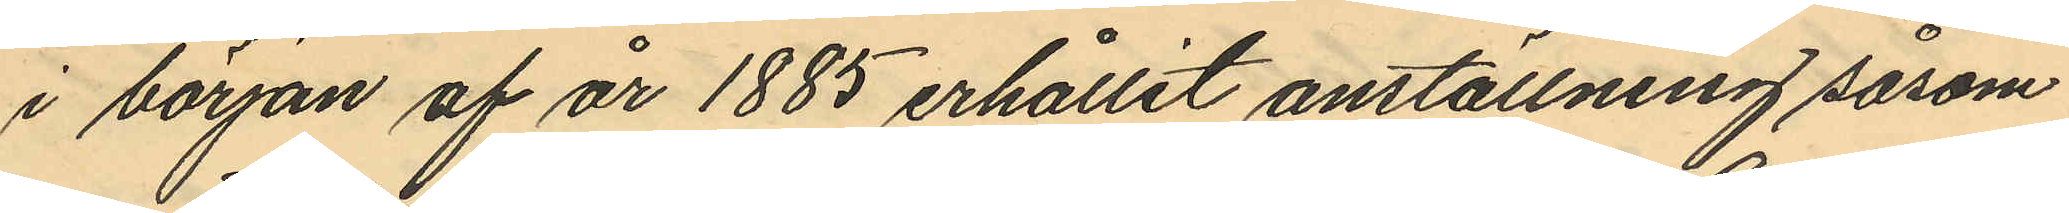i början af år 1885 erhållit anställning såsom
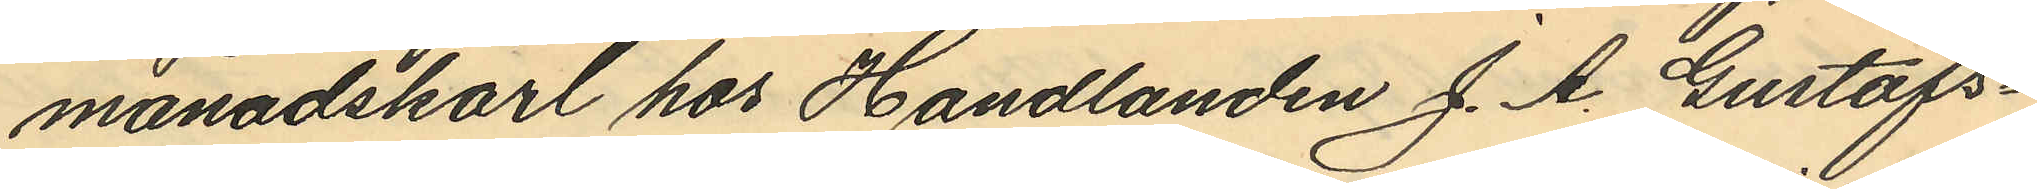månadskarl hos Handlanden J. A. Gustafs¬
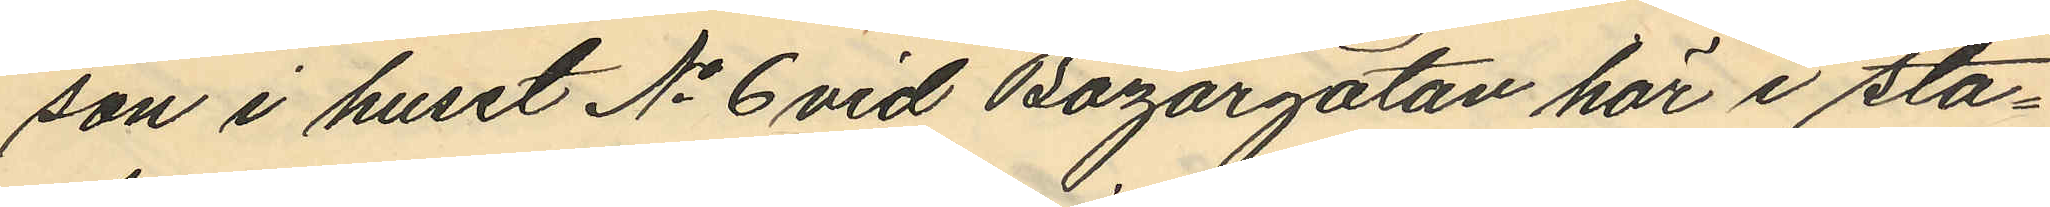son i huset No 6 vid Bazargatan här i sta¬
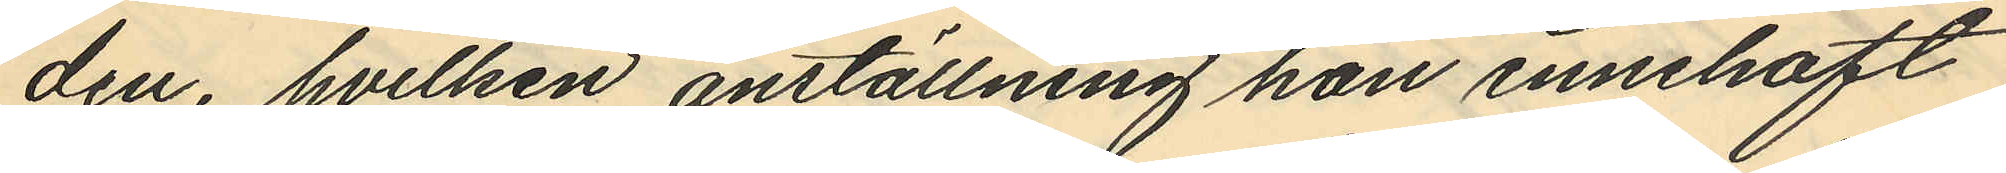den, hvilken anställning han innehaft
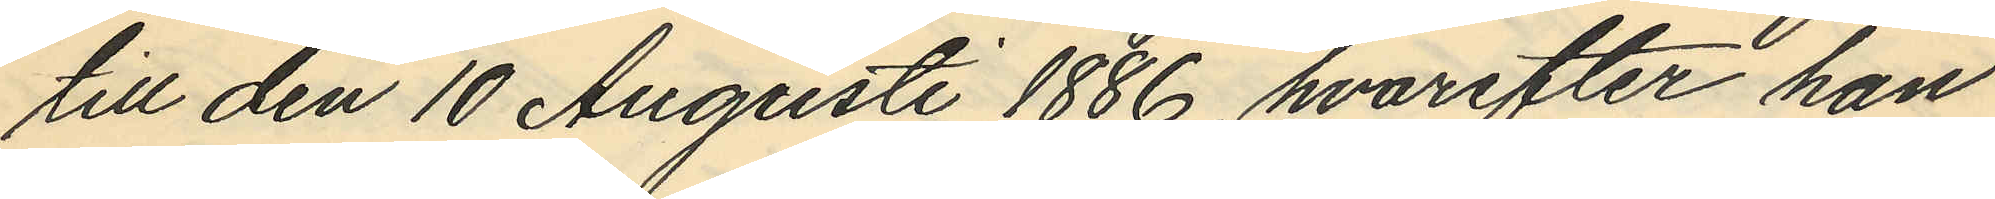till den 10 Augusti 1886, hvarefter han
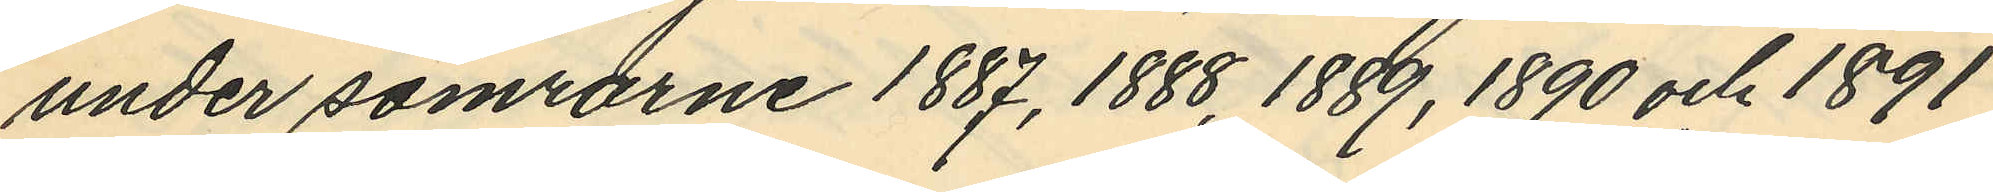under somrarne 1887, 1888, 1889, 1890 och 1891
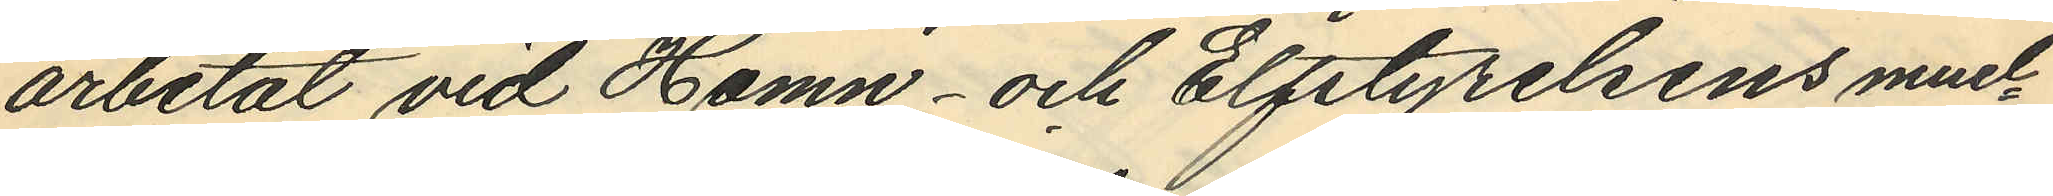arbetat vid Hamn- och Elfstyrelsens mud¬
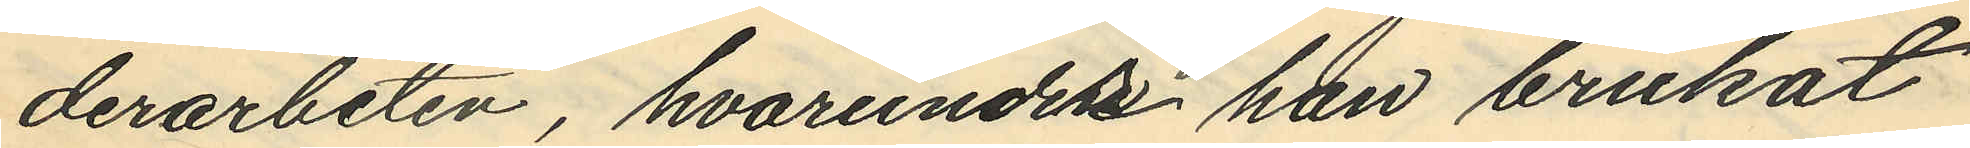derarbeten, hvarunder han brukat
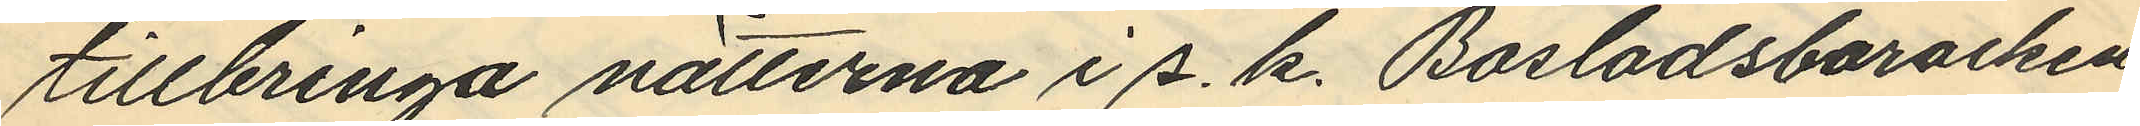tillbringa nätterna i s. k. Bosladsbaracken
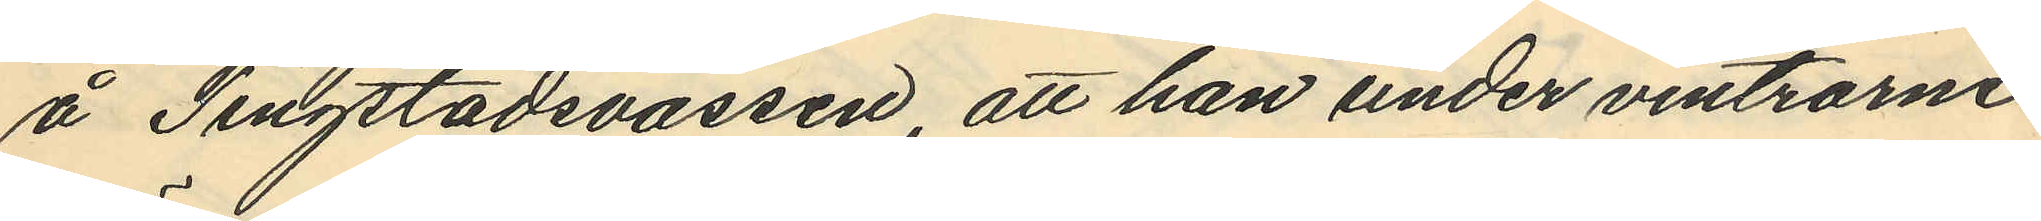å Tingstadsvassen, att han under vintrarne
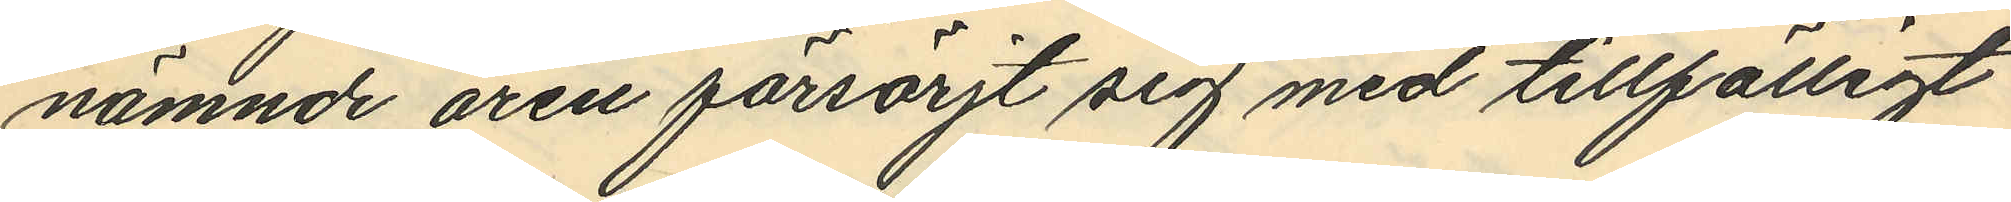nämnde åren försörjt sig med tillfälligt
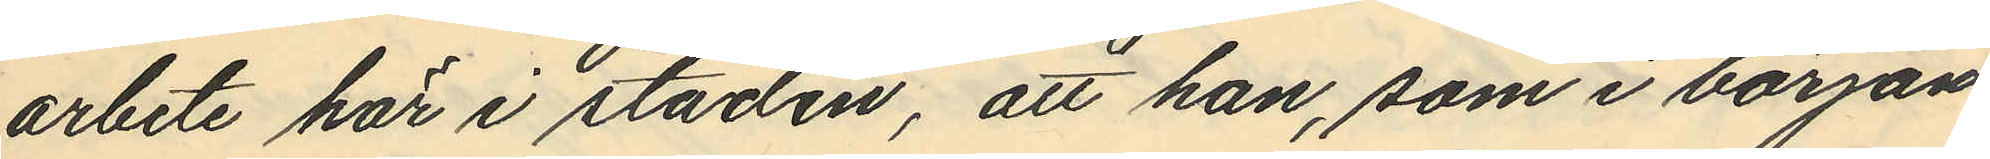arbete här i staden, att han, som i början
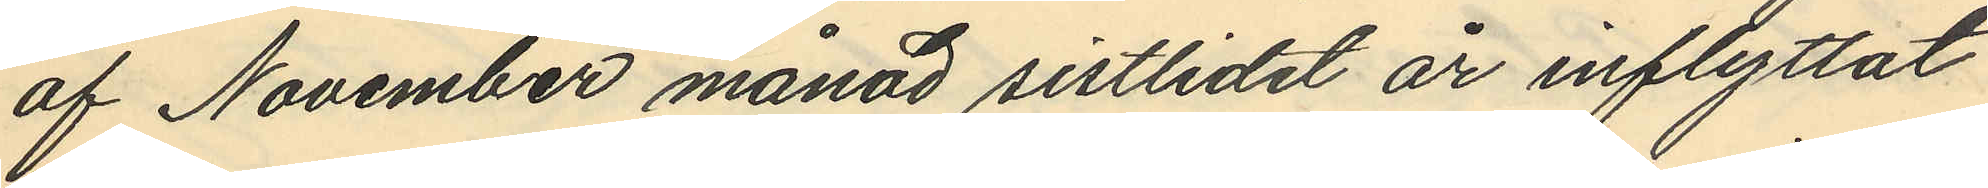af November månad sistlidet år inflyttat
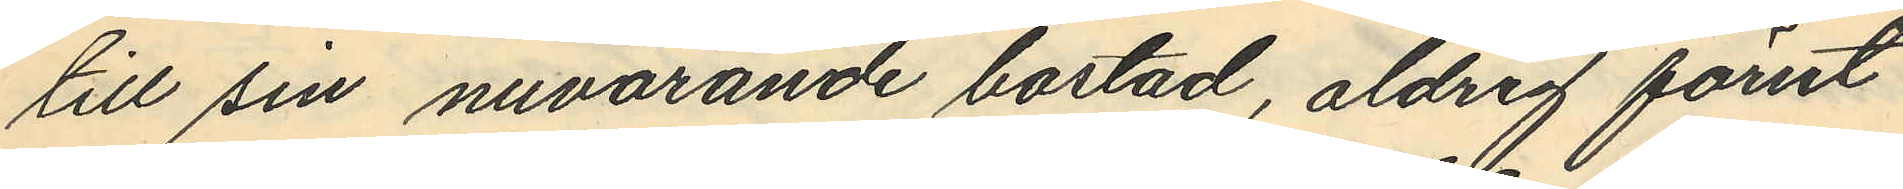till sin nuvarande bostad, aldrig förut
